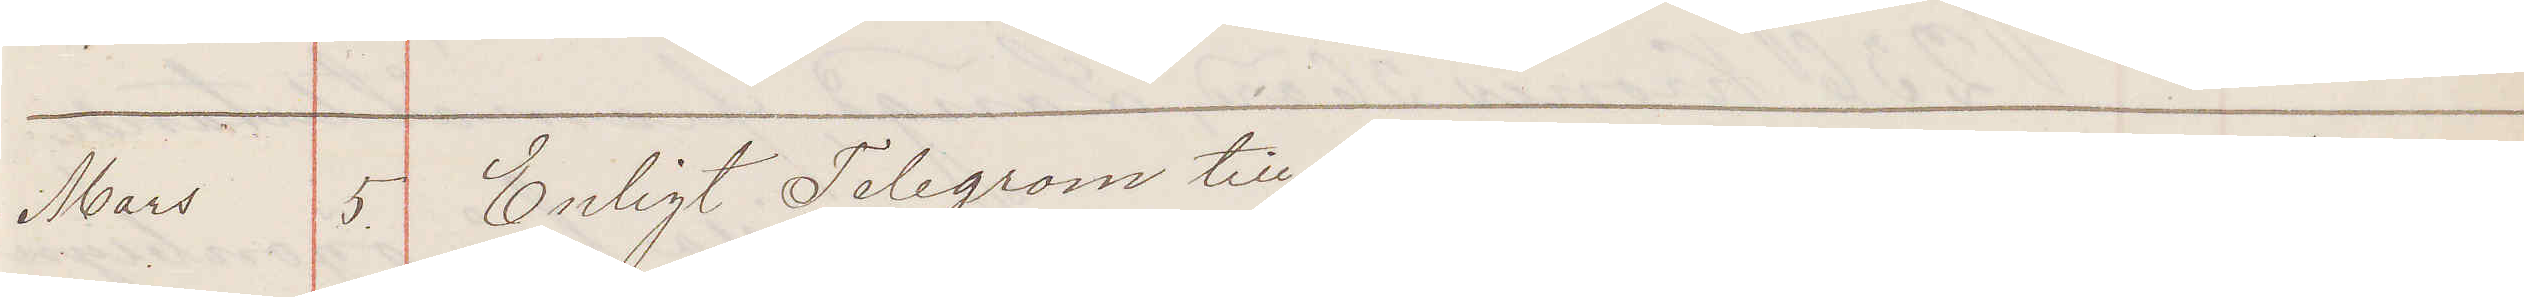Mars 5. Enligt Telegram till härvarande Konungens Befallnings¬
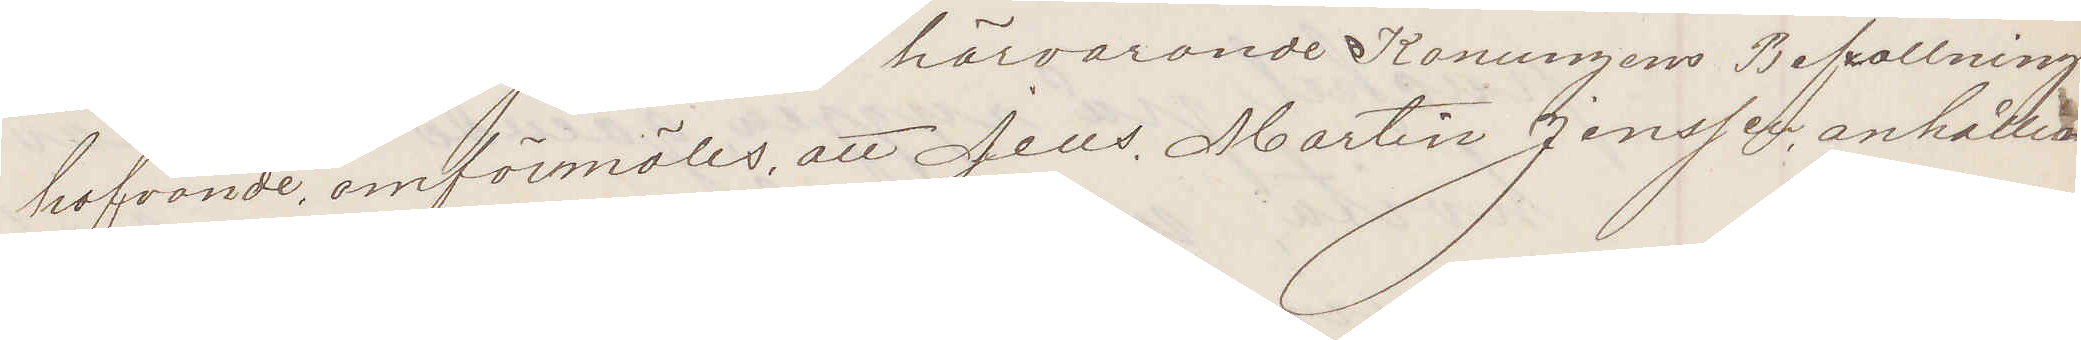hafvande omförmäles, att Jens Martin Jensen anhållen
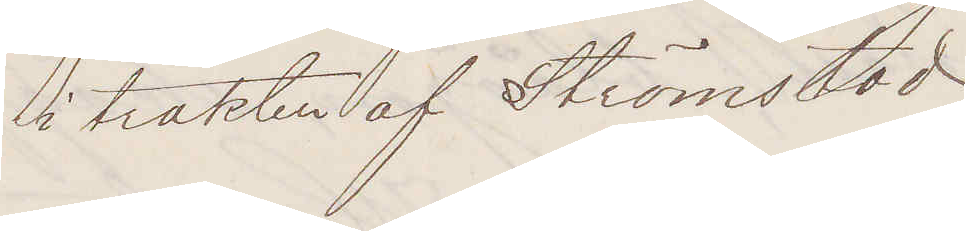i trakten af Strömstad
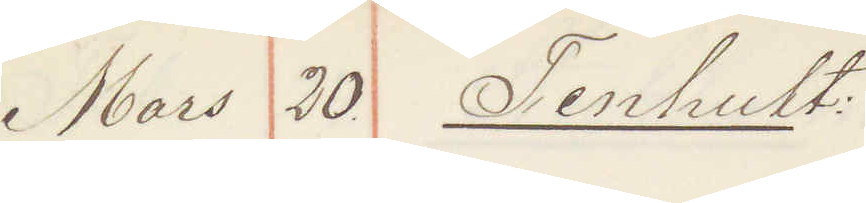Mars 30 Tenhult
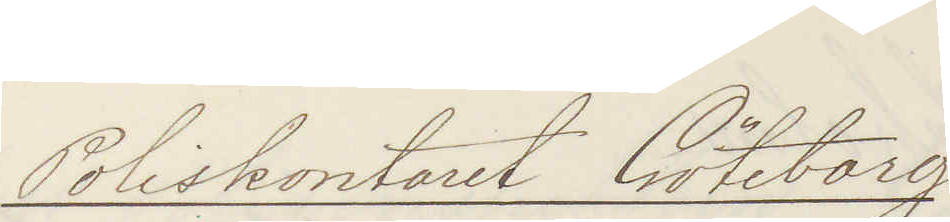Poliskontoret Göteborg
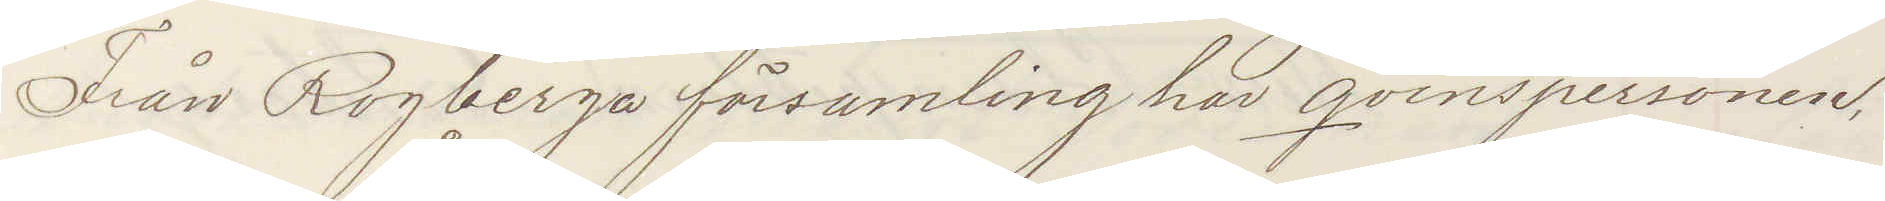Från Rogberga församling har qvinspersonen
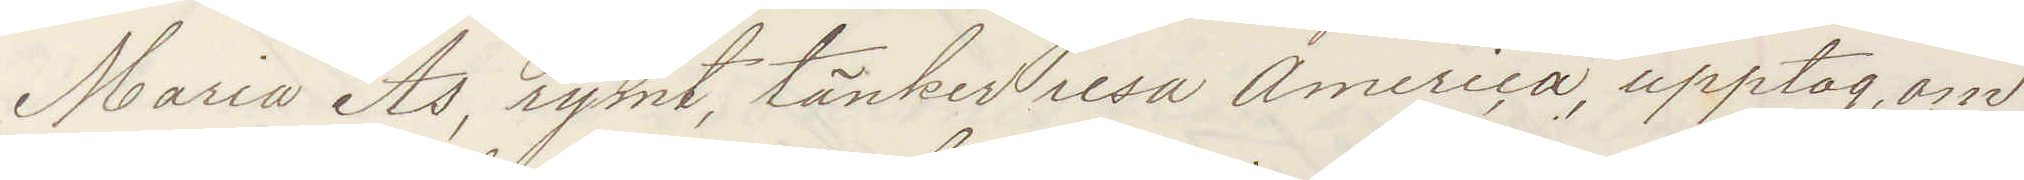Maria Åhs, rymt, tänker resa America, upptag om
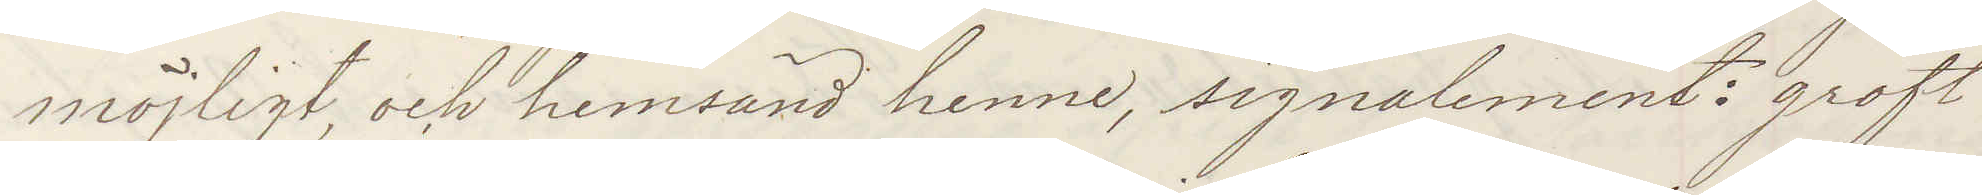möjligt, och hemsänd henne, signalement: groft
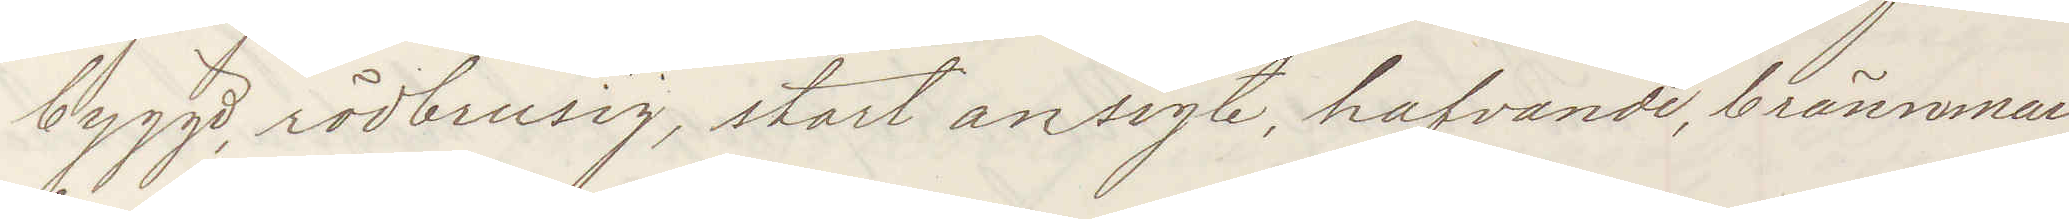byggd, rödbrusig, stort ansigte, hafvande, brännmar¬
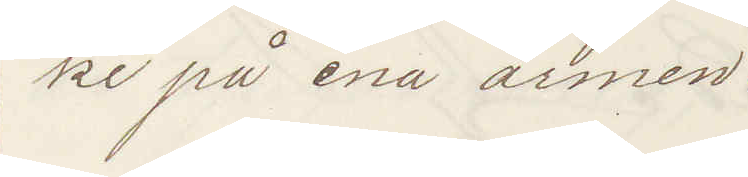ke på ena armen.
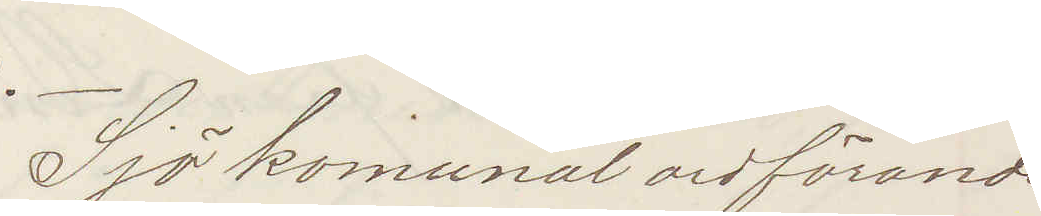Sjö komunal ordförande
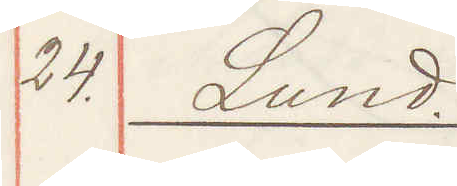24. Lund.
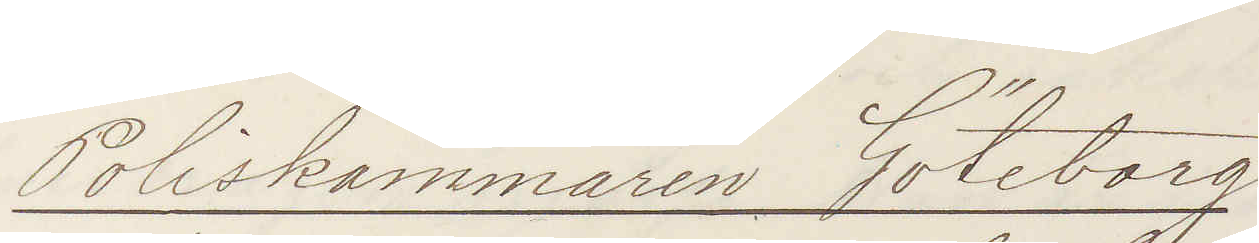Poliskammaren Göteborg
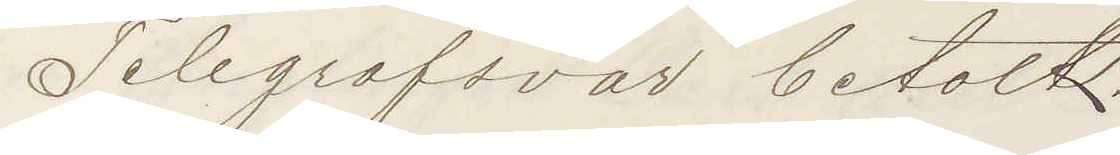Telegrafsvar betalt.
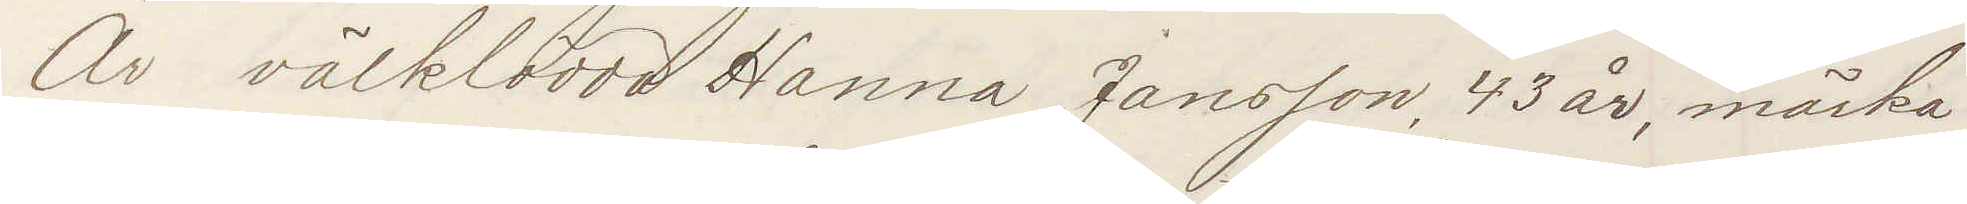Är välklädda Hanna Jansson, 43 år, mörka
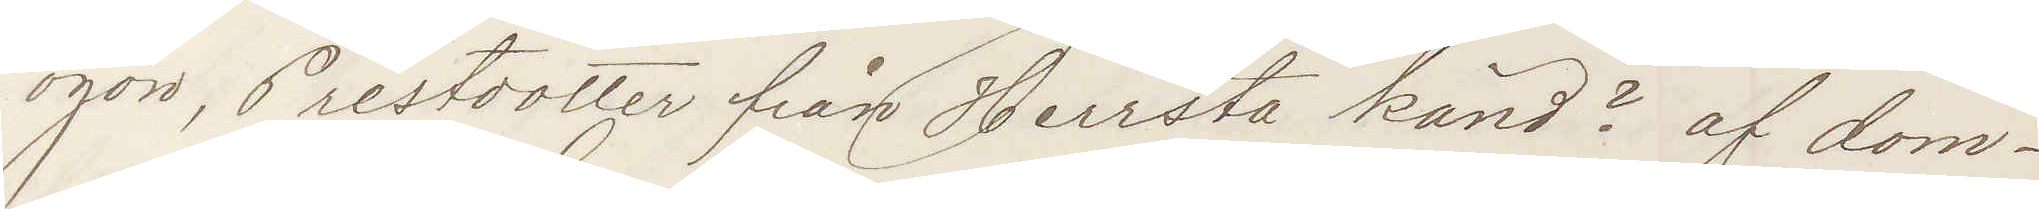ögon, Prestdotter från Herresta känd? af dom¬
